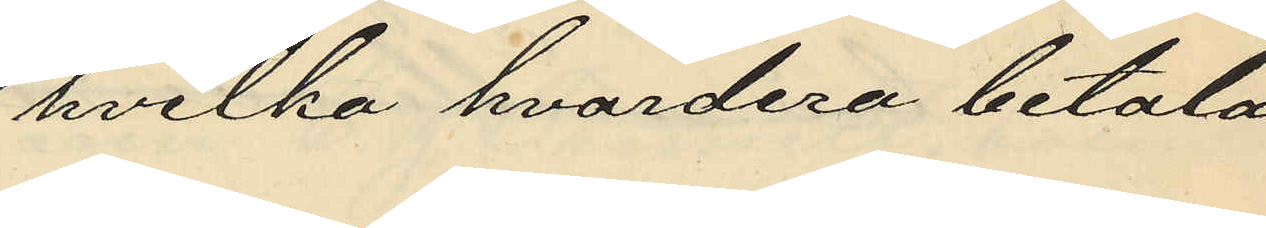hvilka hvardera betala
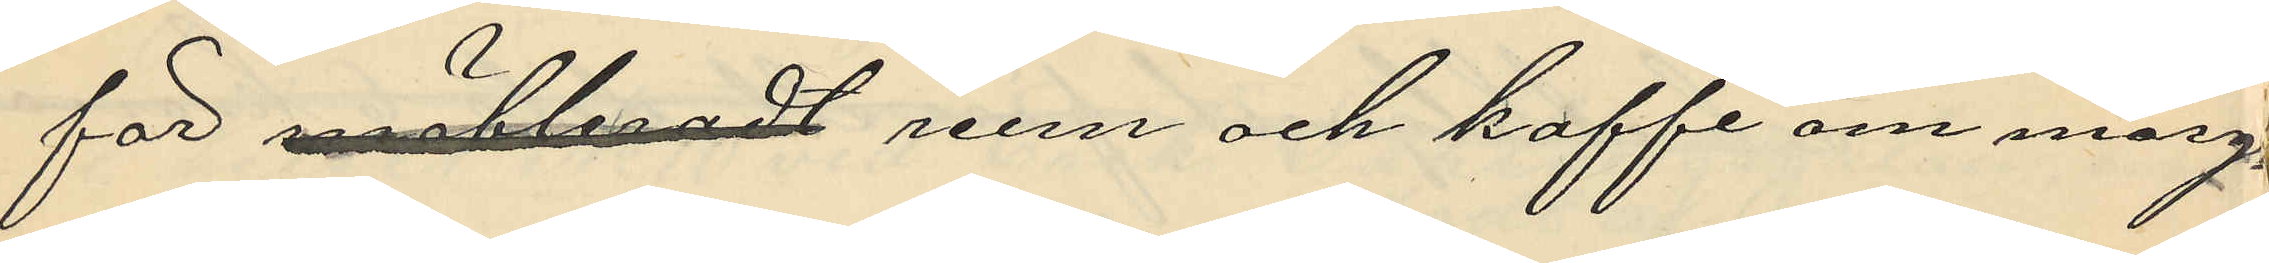för möbleradt rum och kaffe om morg¬
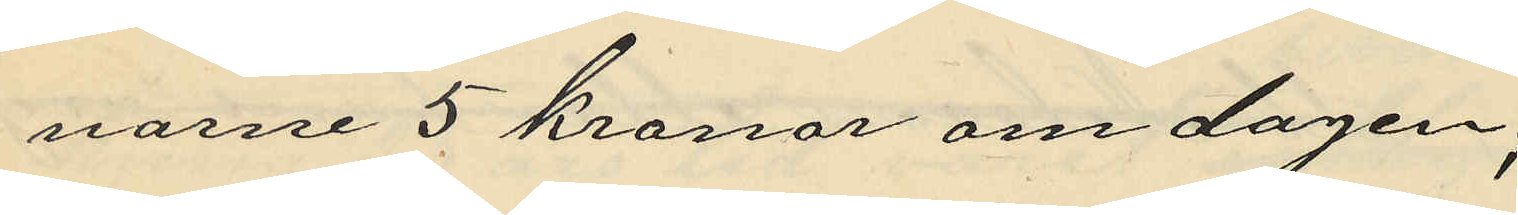narne 5 kronor om dagen;
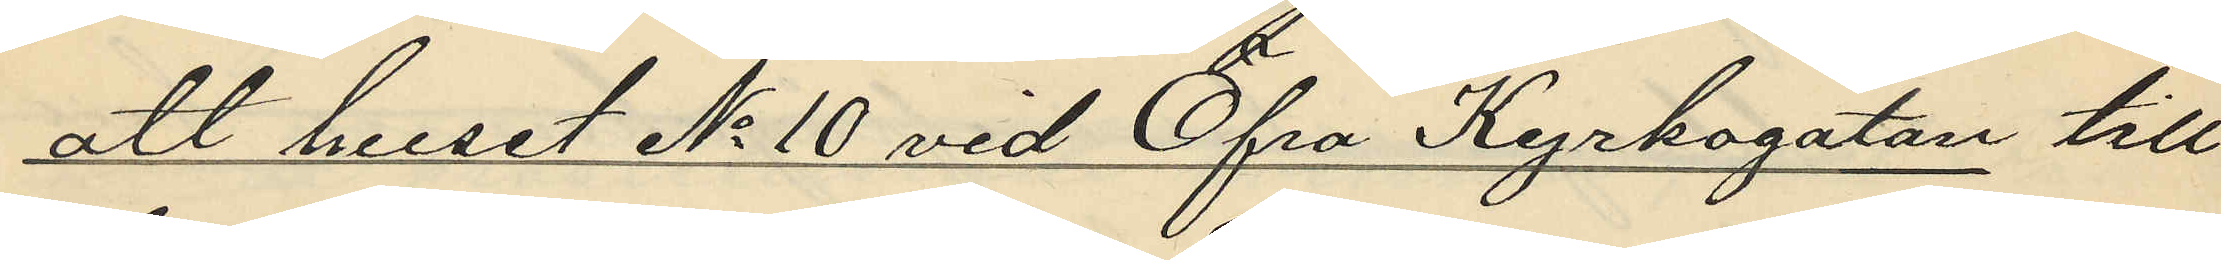att huset No 10 vid Öfra Kyrkogatan till¬
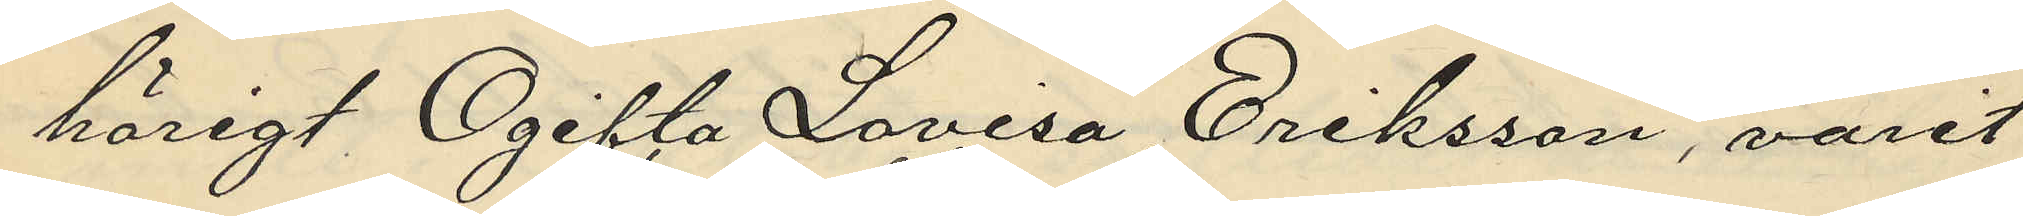hörigt Ogifta Lovisa Eriksson, varit
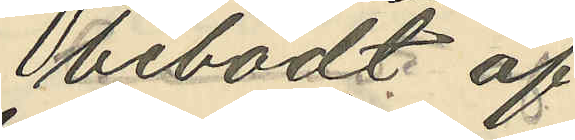bebodt af
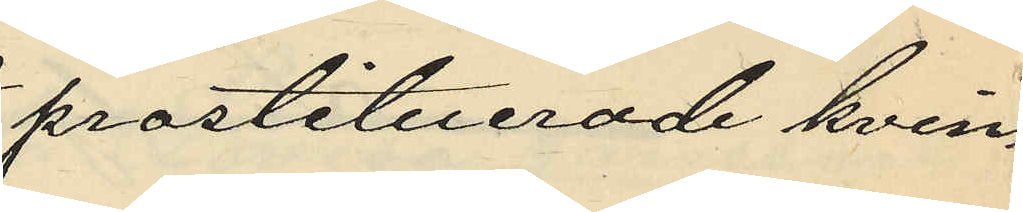prostituerade kvin¬
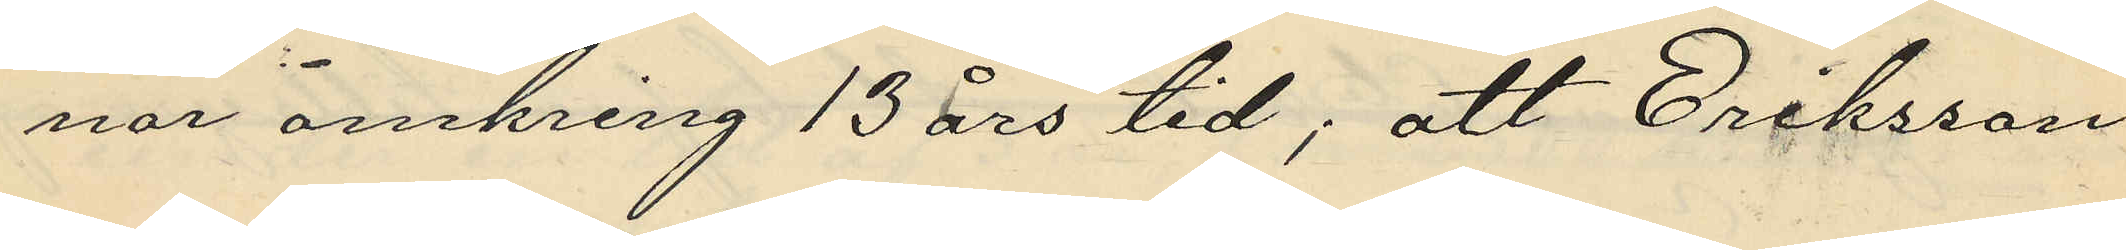nor omkring 13 års tid; att Eriksson
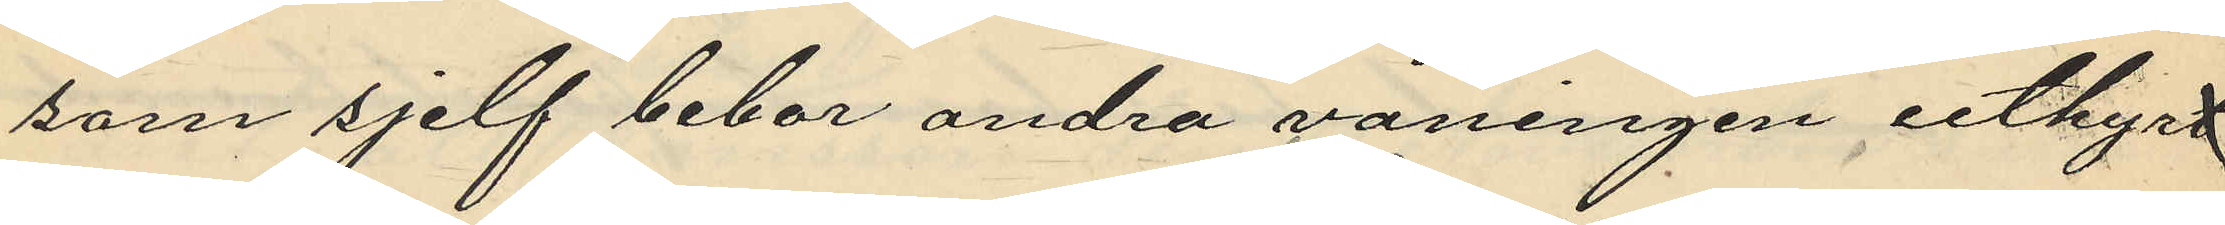som sjelf bebor andra våningen uthyrt
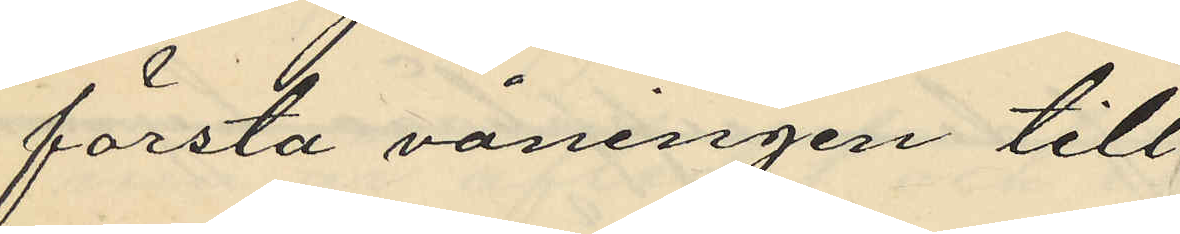första våningen till
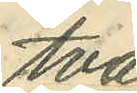två
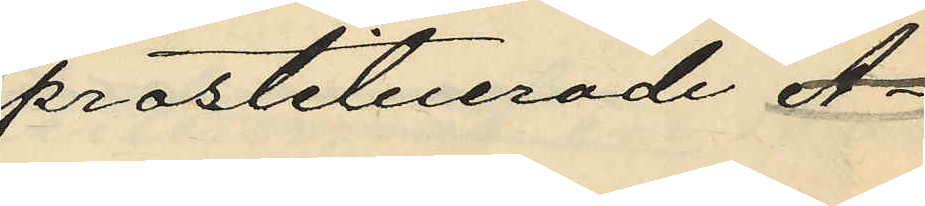prostituerade A¬
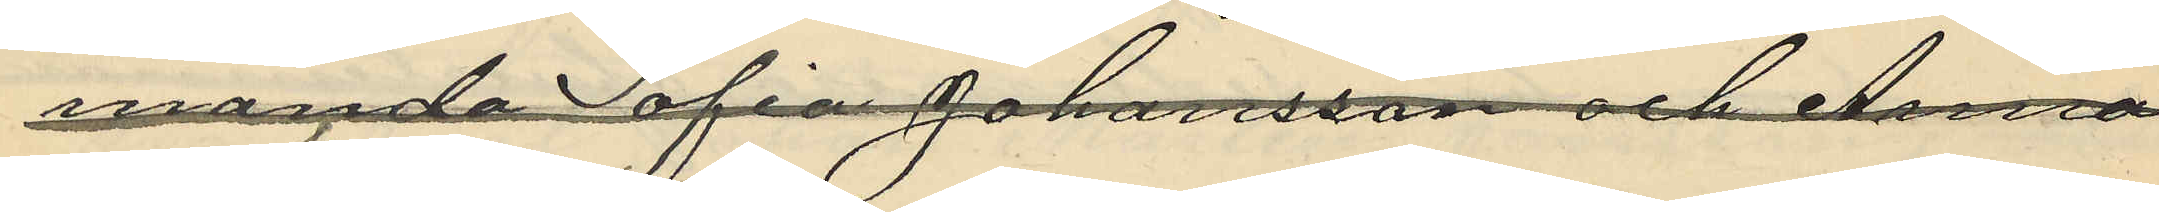manada Sofia Johansson och Anna
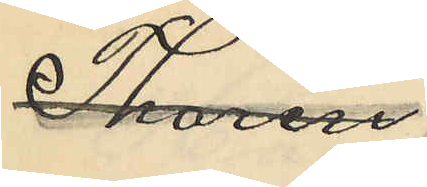Thorin
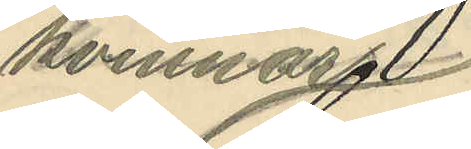kvinnor
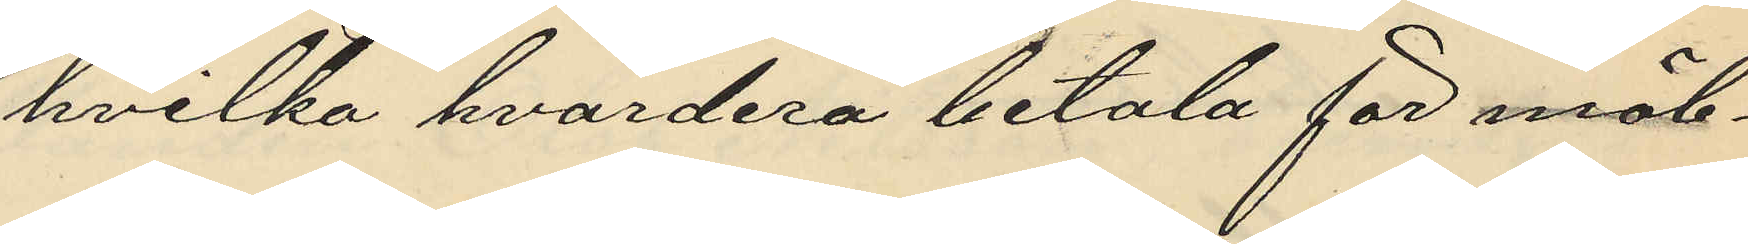vilka hvardera betala för möb¬
